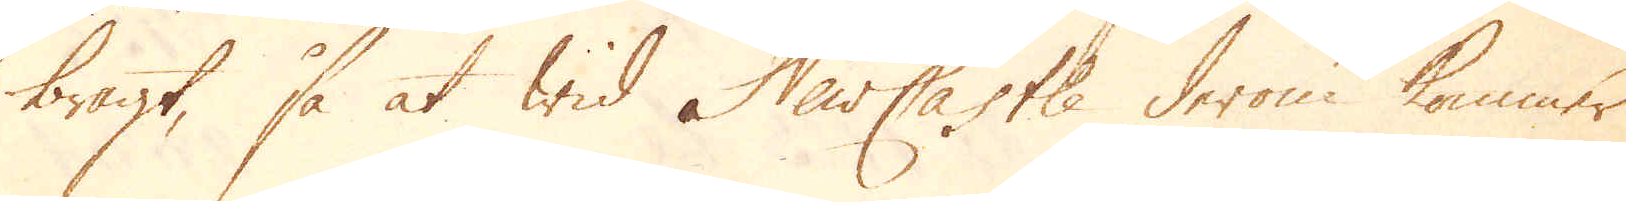bragt, så at wid Newcastle derom kommer
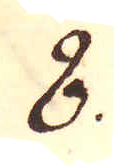8.
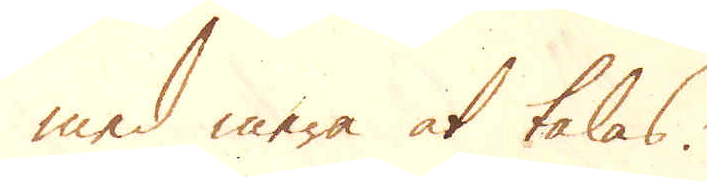med mera at talas.
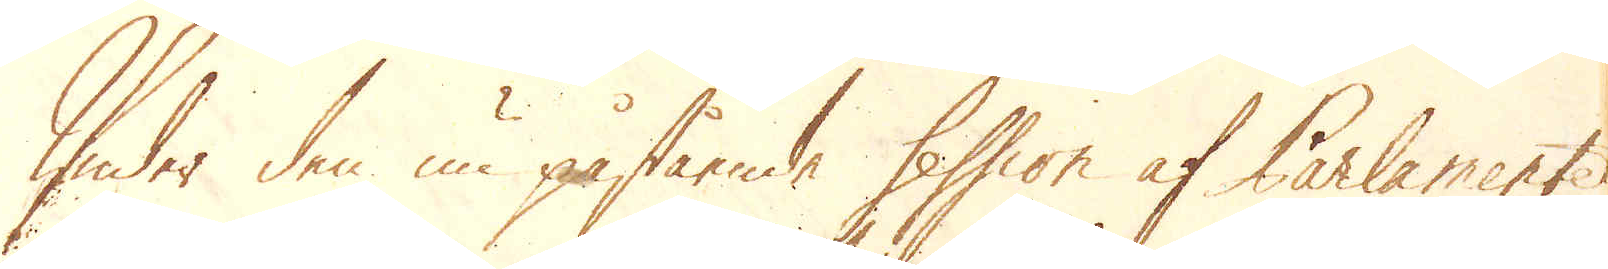Under den nu påstående session af Parlamentet
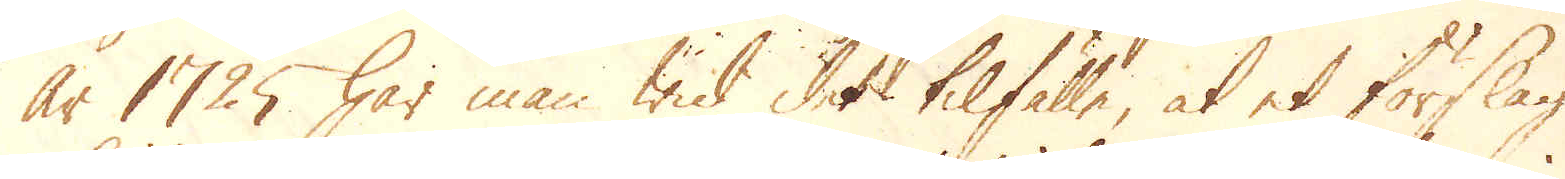år 1725 har man wid det tilfälle, at et förslag
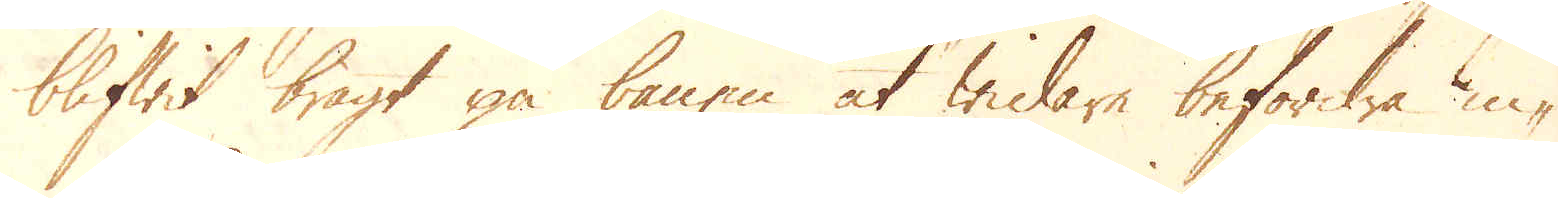blifwit bragt på banen at widare befordra in-
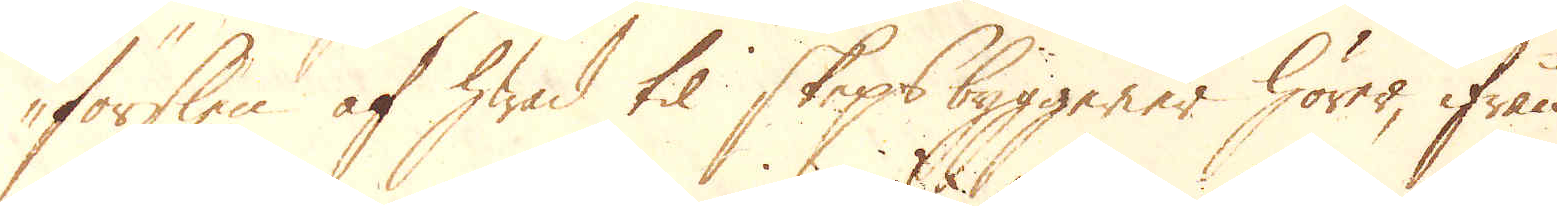förslen af hwad til skepsbyggerier hörer, ifrån
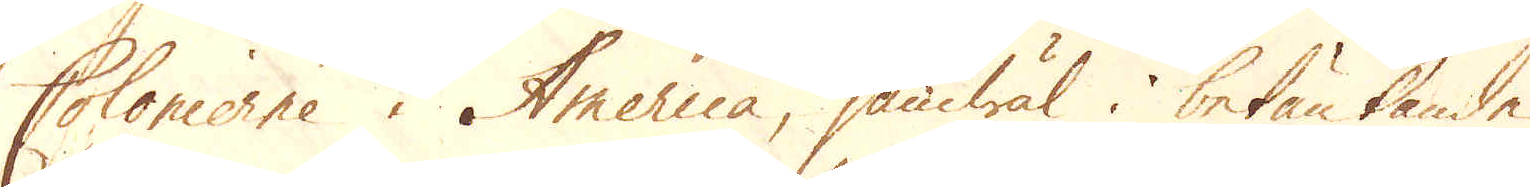Colonierne i America, jämwäl i betänkande
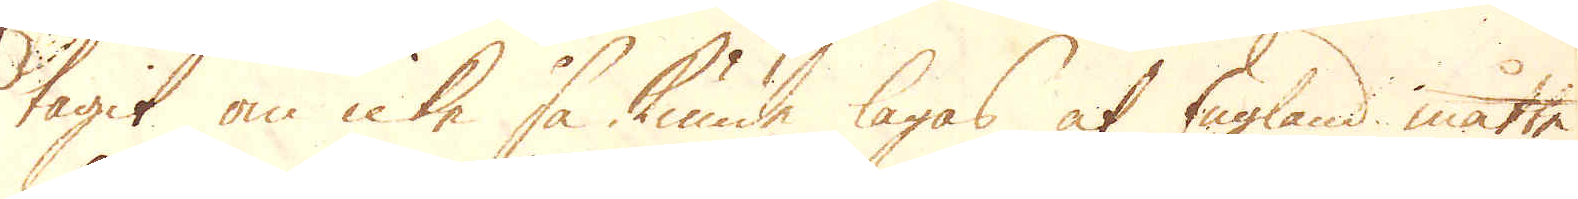tagit om icke så kunde lagas at England måtte
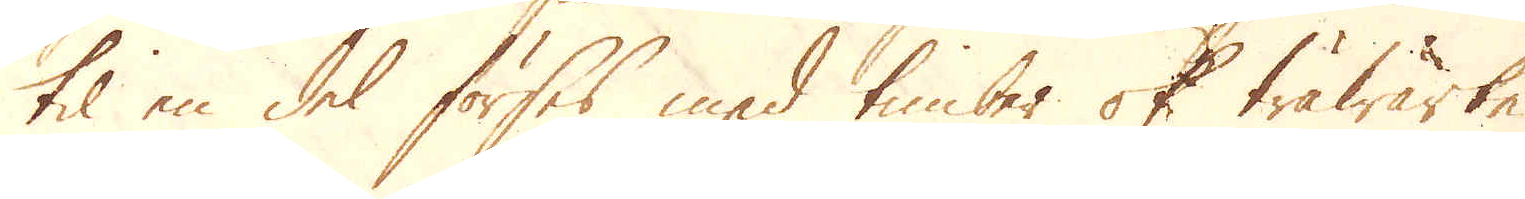til en del förses med timber ok träwärke
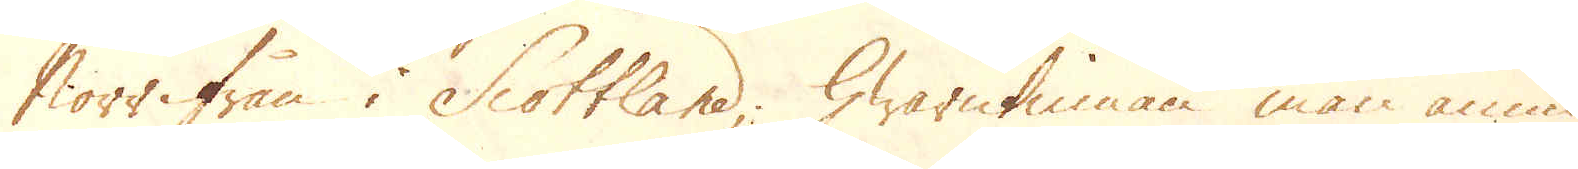Norrifrån i Scottland; Hwarutinnan man ännu
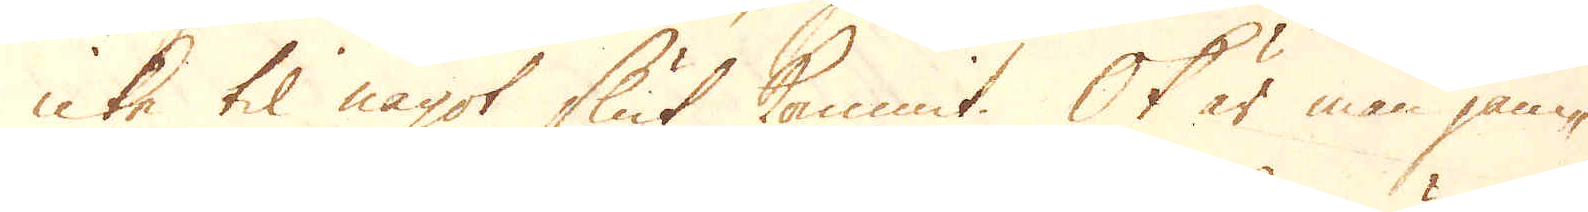icke til något slut kommit. Ok är man jäm-
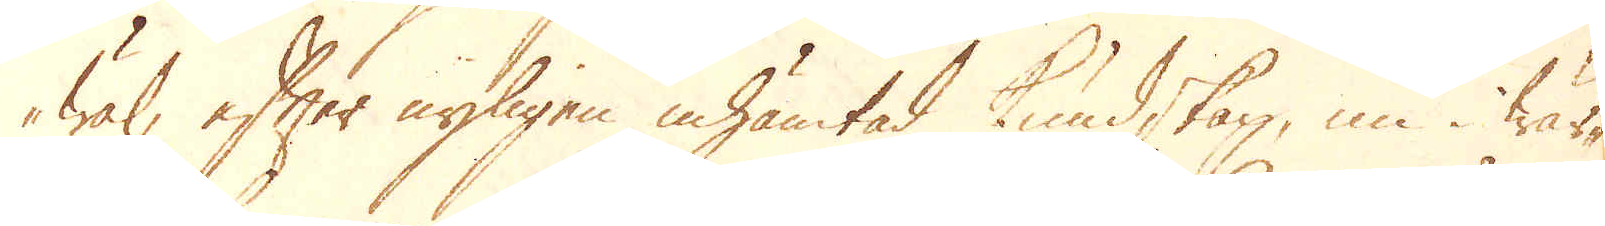wäl, efter nyligen inhämtad kundskap, nu i wär-
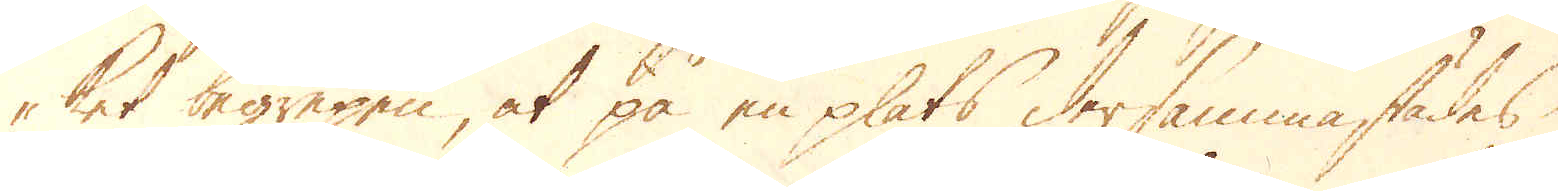ket begrepen, at på en plats dersammastädes
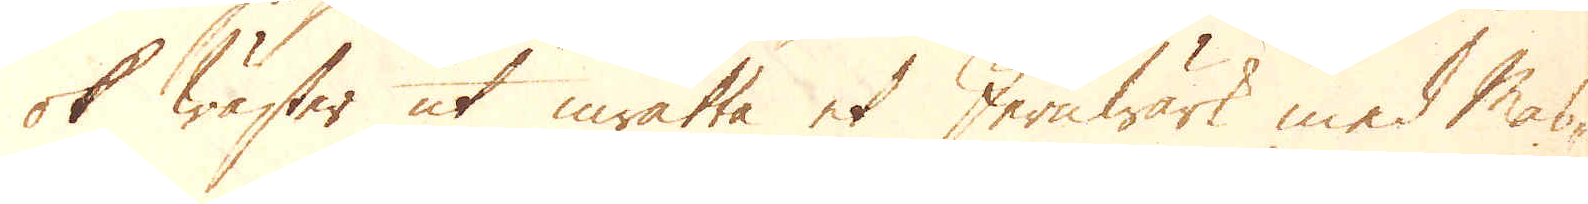ok wäster ut inrätta et Jernwärk med mas-
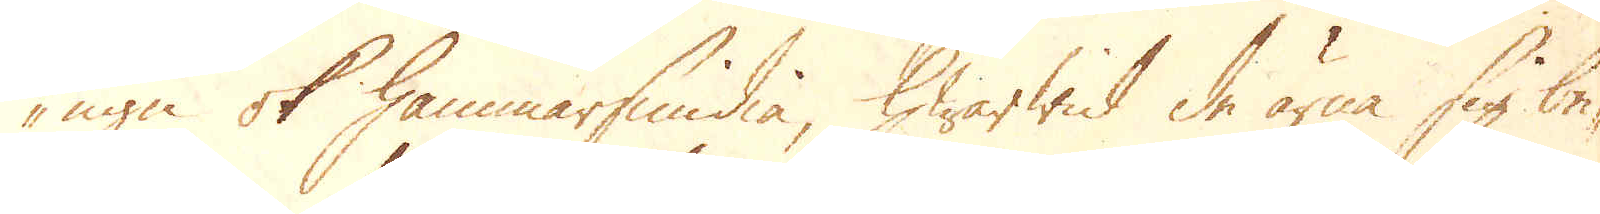ugn ok hammarsmedia, hwarwid de ärna sig be-
